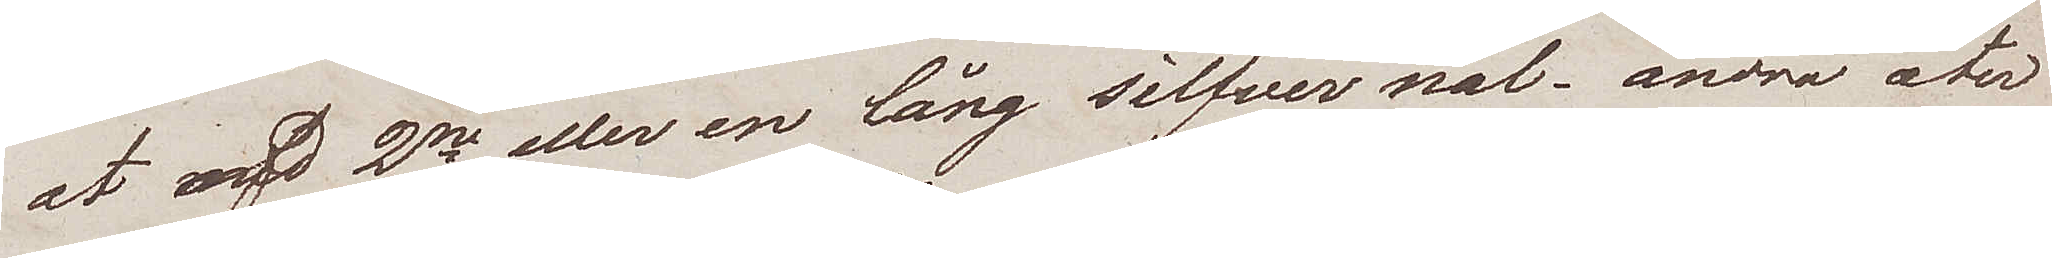at med 2ne eller en lång silfver nål, andra åter
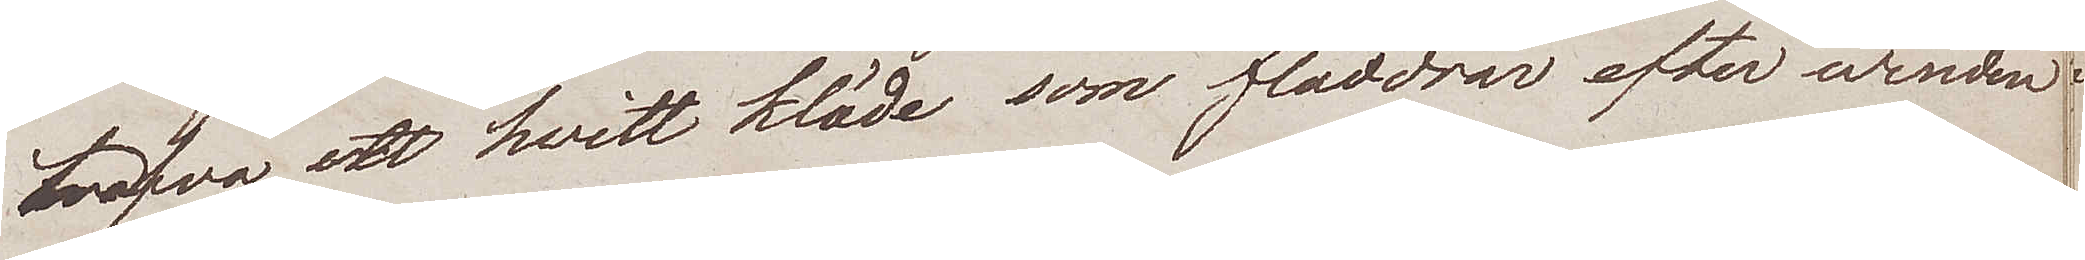hafva ett hvit kläde som fladdrar efter winden.
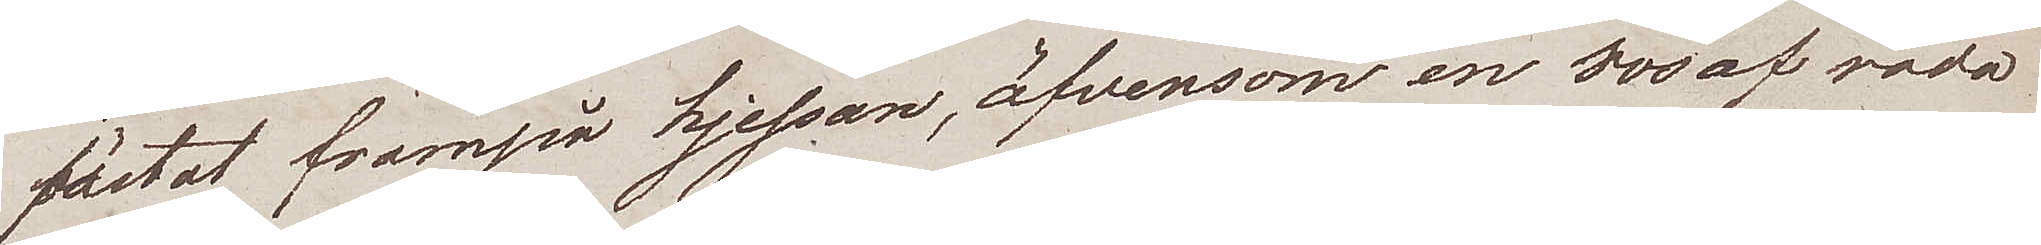fästat frampå hjessan, äfvensom en 800 af röda
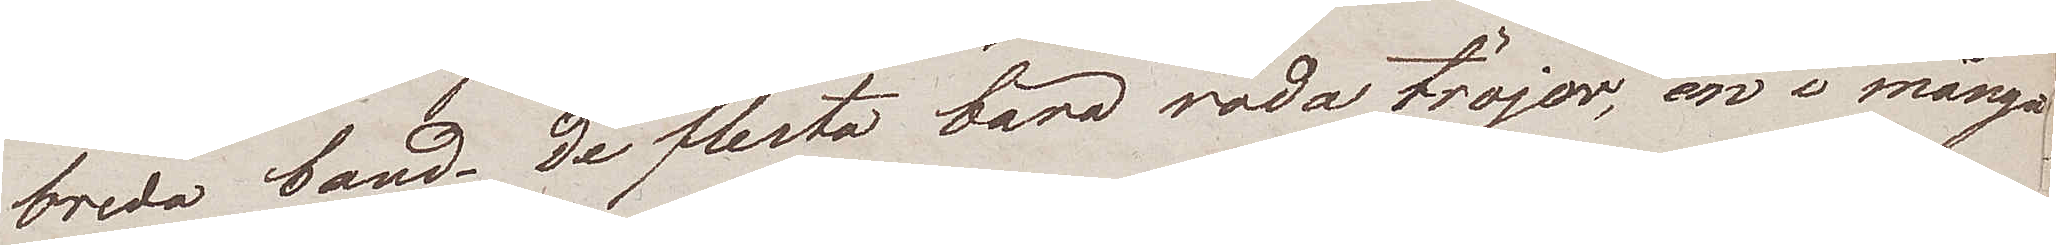breda band. De flesta bära röda tröjor, en i många
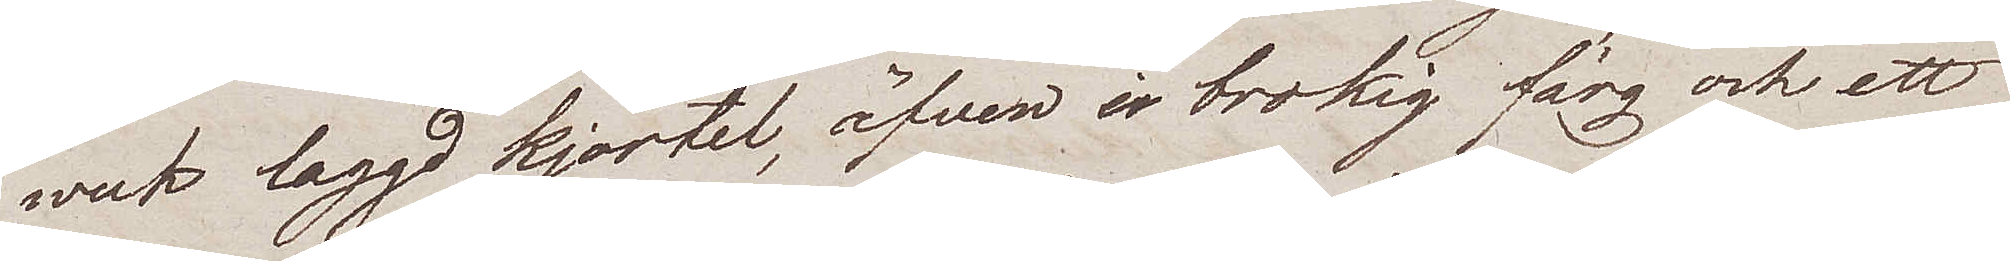weck laggd kjortel, äfven i brokig färg och ett
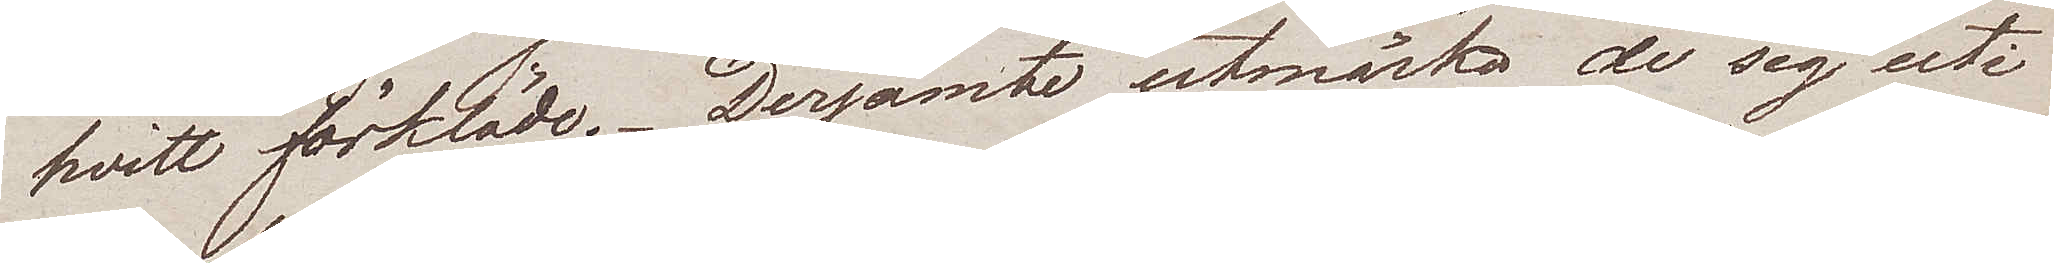hvitt förkläde. Derjämte utmärka de sig uti
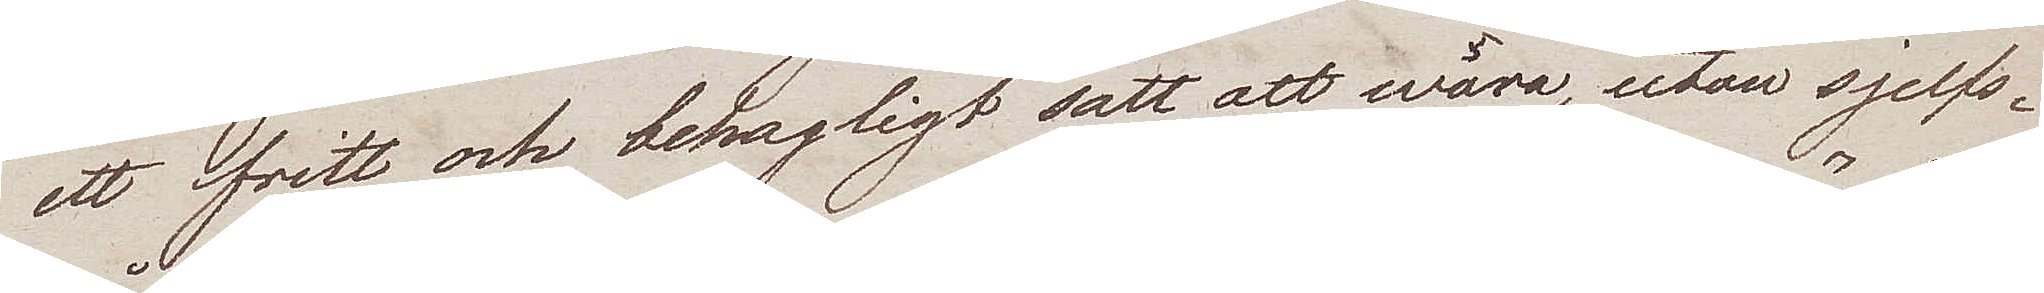ett fritt och behagligt sätt att wara, utan sjelfs¬
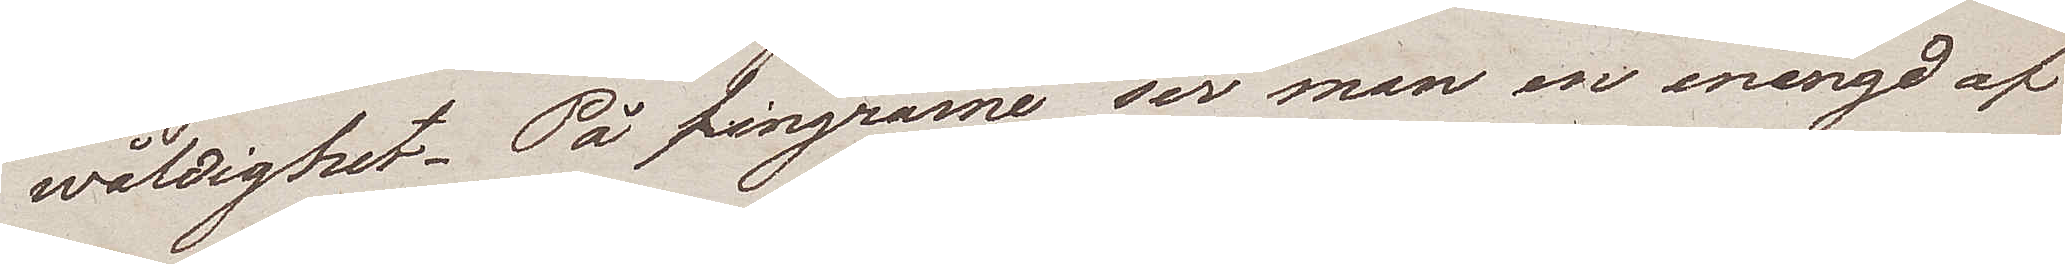wåldighet. På fingrarne ser man en mängd af
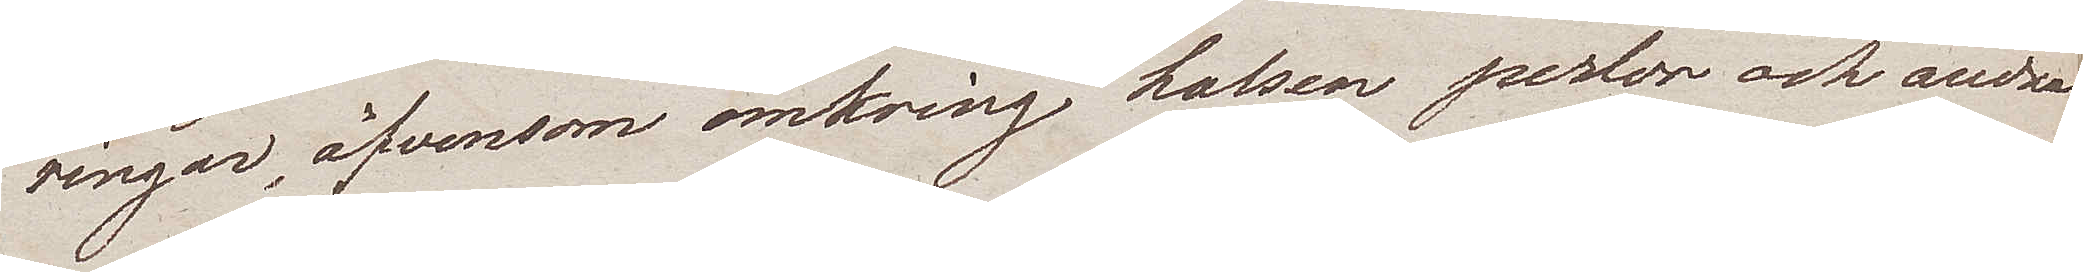ringar, äfvensom omkring halsen perlor och andra
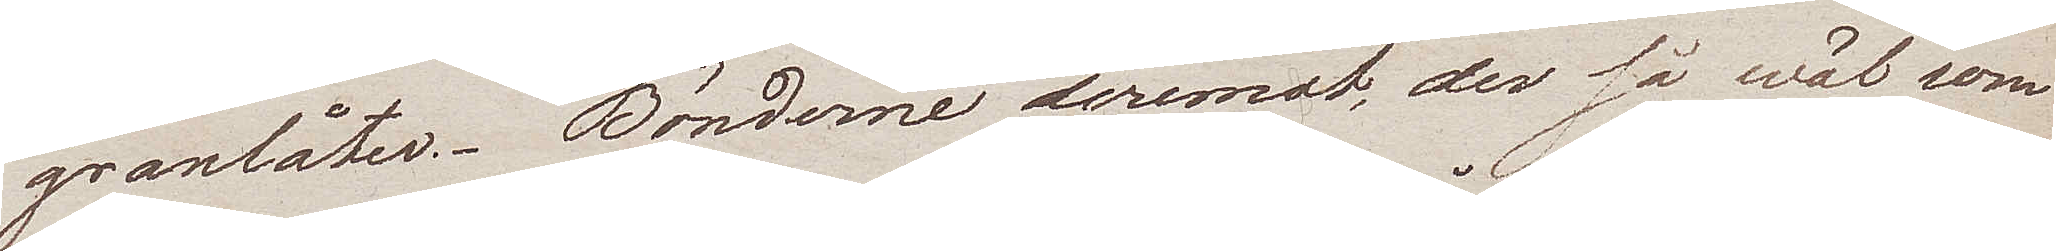granlåter. Bönderna deremot, der så wäl som
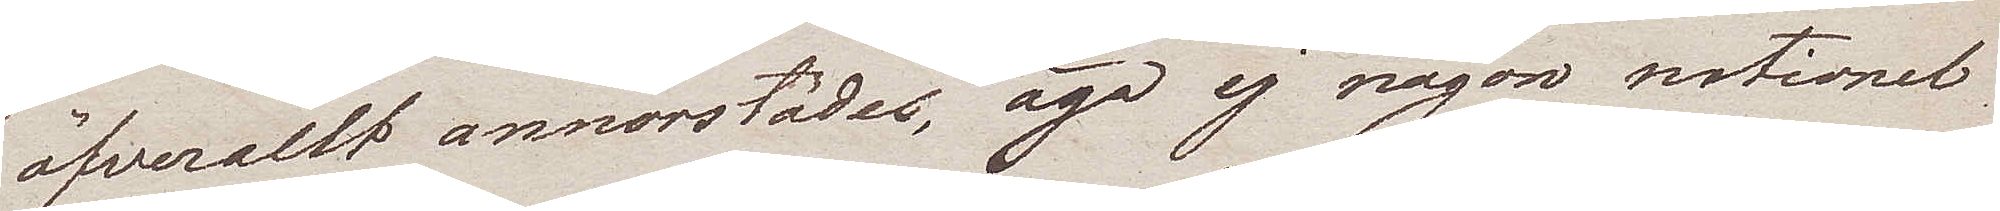öfverallt annorstädes, äga ej någon nationel
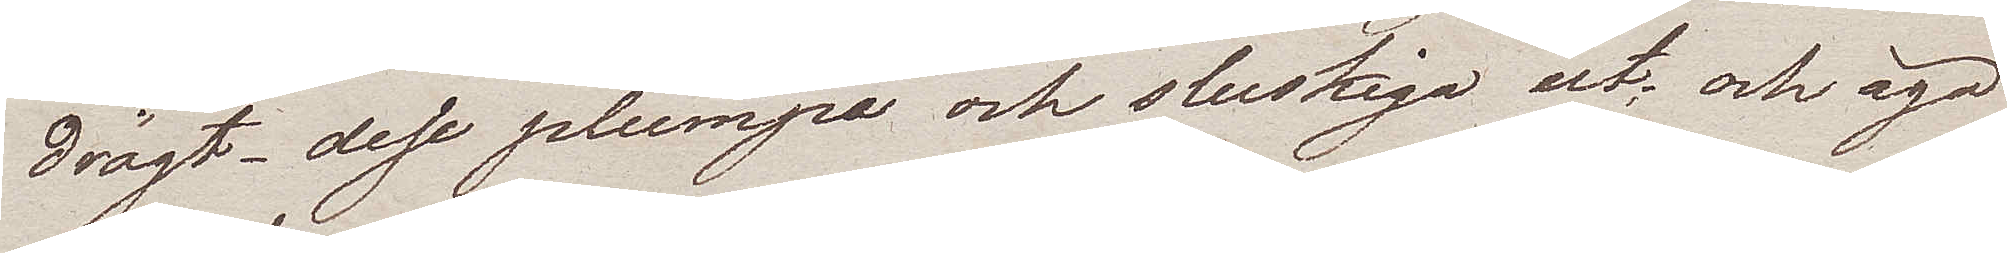drägt dese plumpa och sluskiga ut; och äga
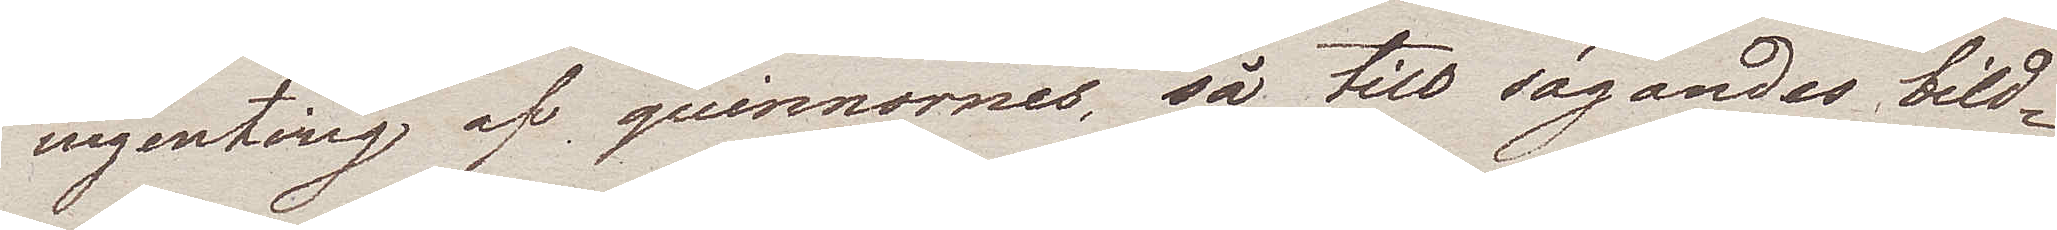ingenting af quinnornes, så till sägandes bild¬
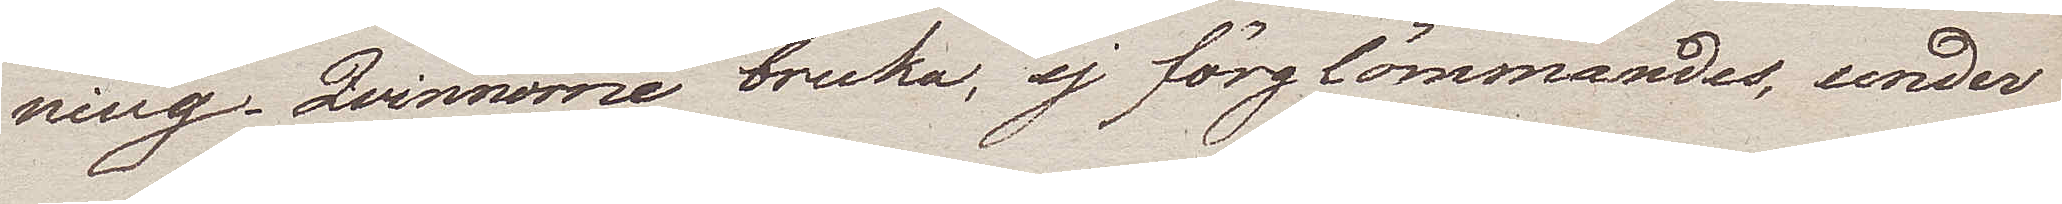ning. Qvinnorne bruka, ej förglömmandes, under
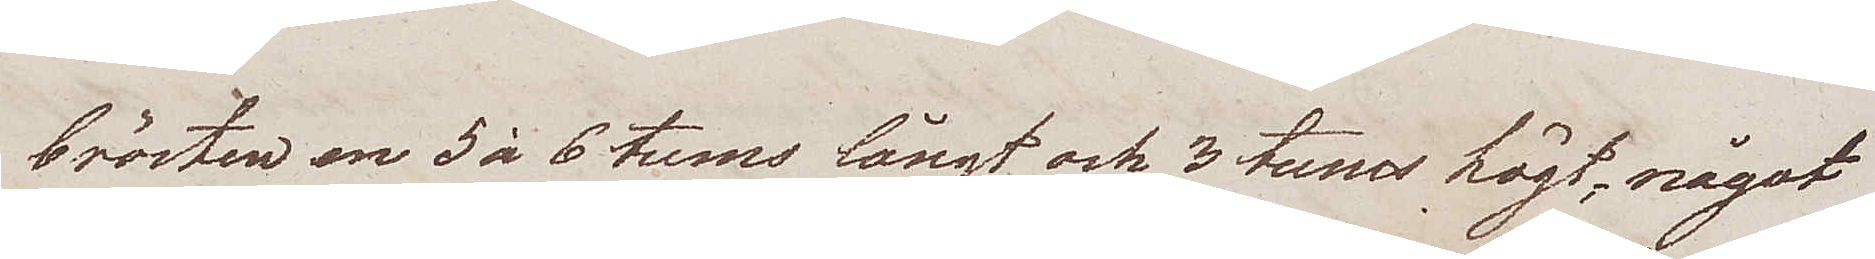brösten en 5 à 6 tums långt och 3 tums högt, något
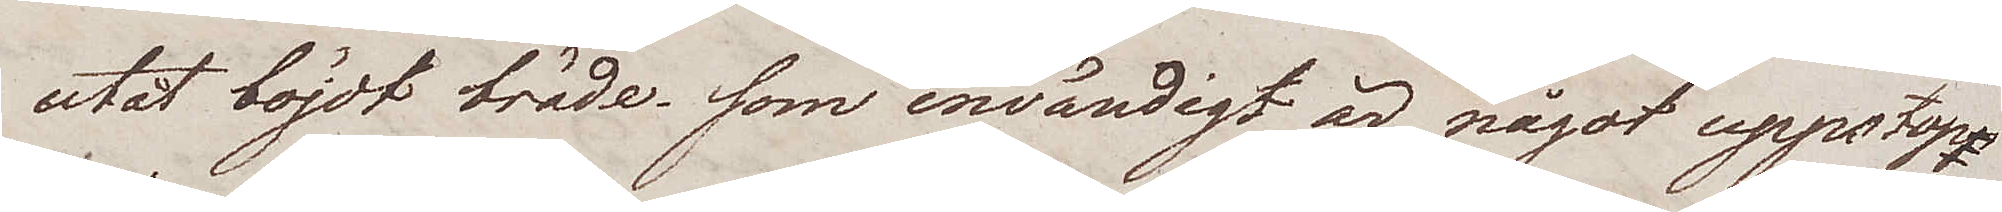utåt böjdt bräde som invändigt är något uppstopp¬
